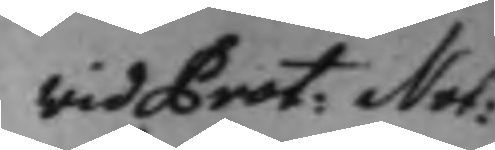Wid Prot: Not: 
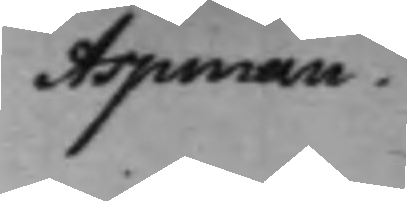Aspman.
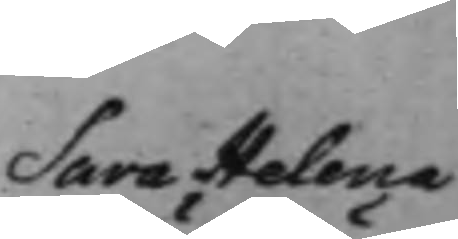Sara Helena 
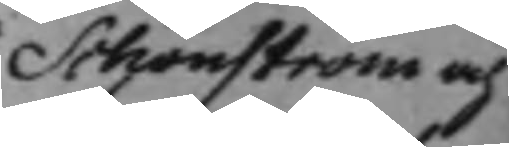Schönström och
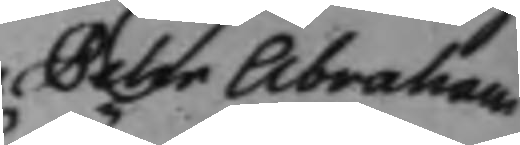Pehr Abraham 
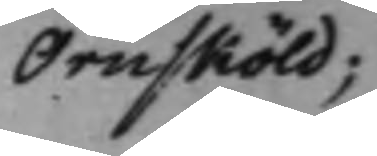Örnsköld;
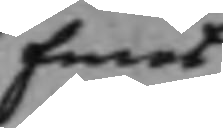Emot
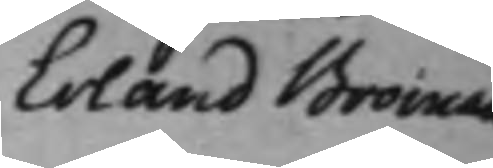Erland Broman
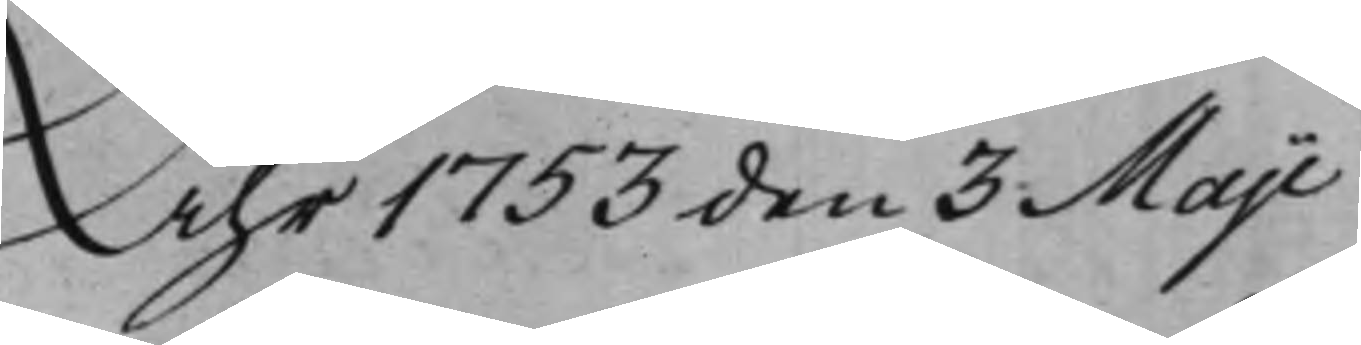Åhr 1753 den 3 Maji
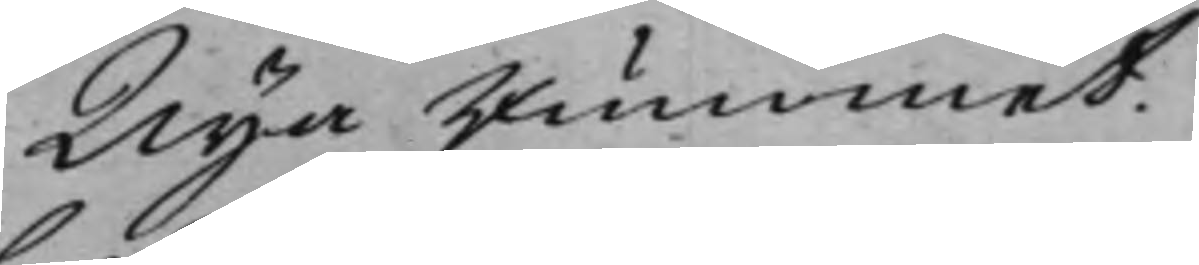Nya rummet.
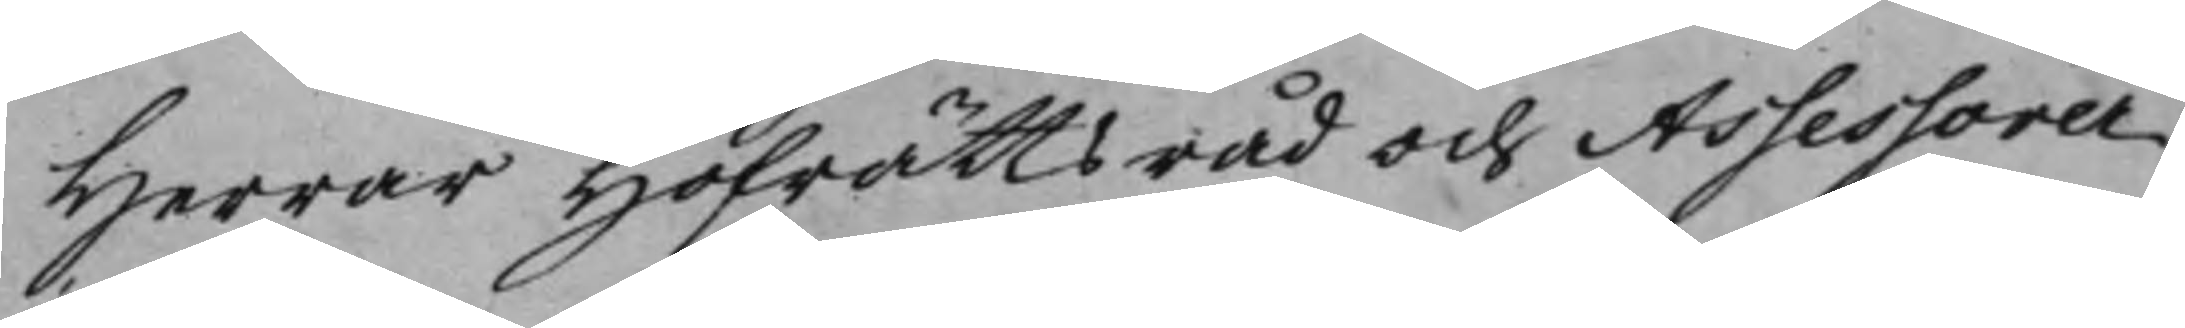Herrar Hofrättsråd och Assessorer
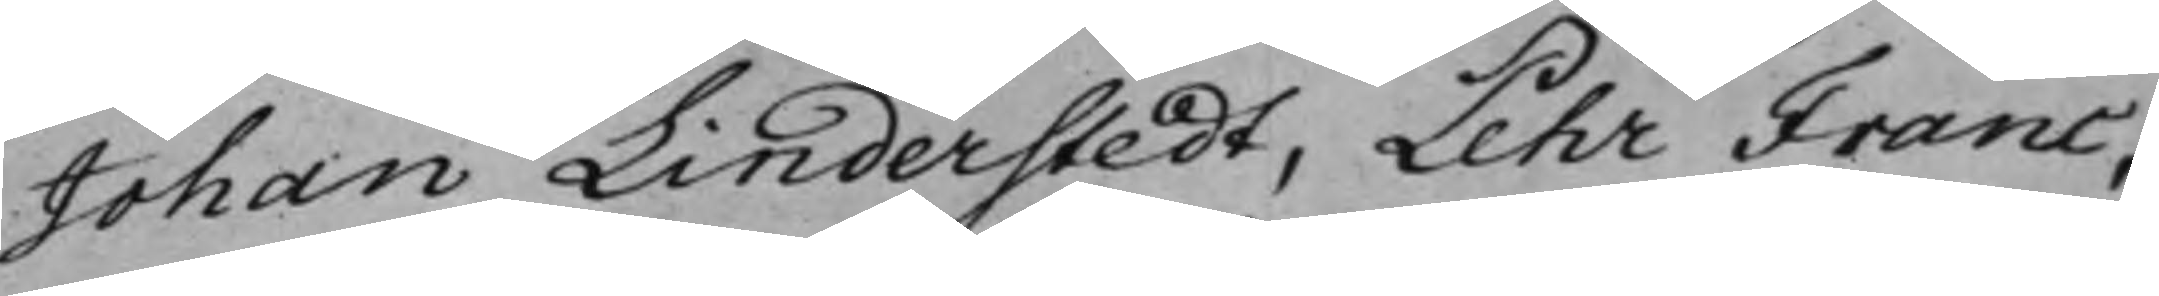Johan Linderstedt, Pehr Franc,
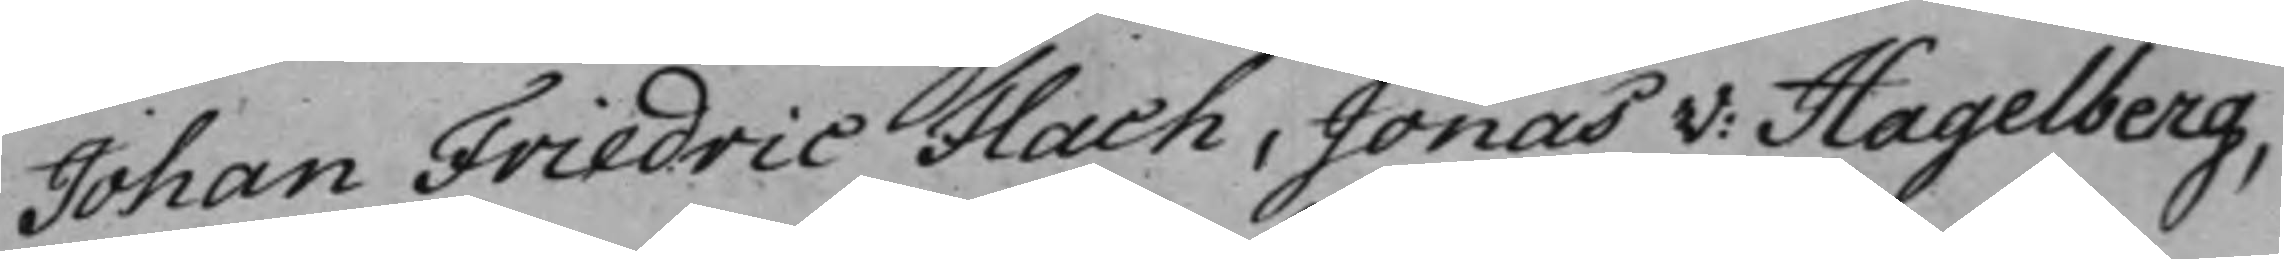Johan Friedric Flach, Jonas V: Hagelberg,
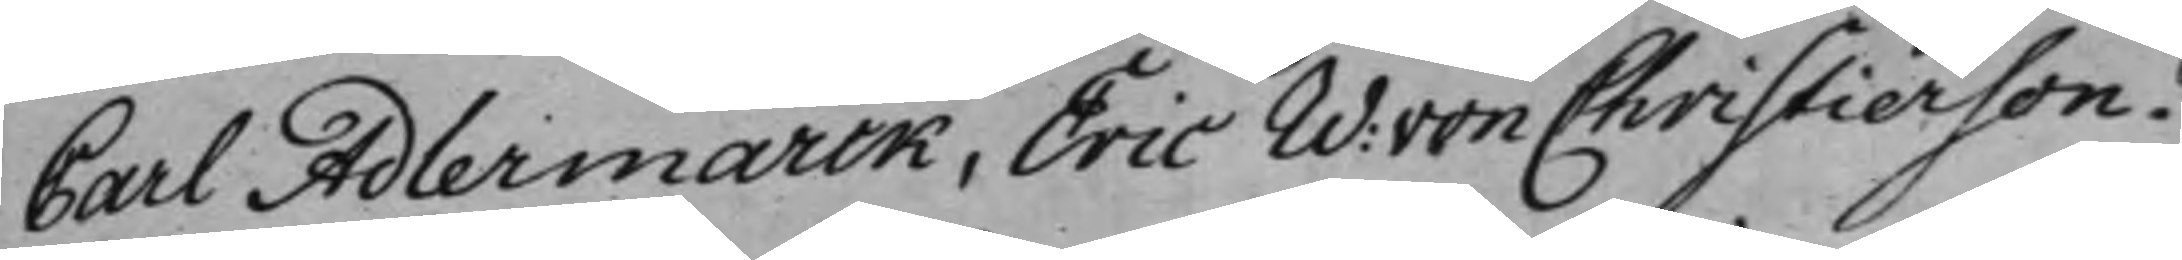Carl Adlermarck, Eric W: von Christierson.
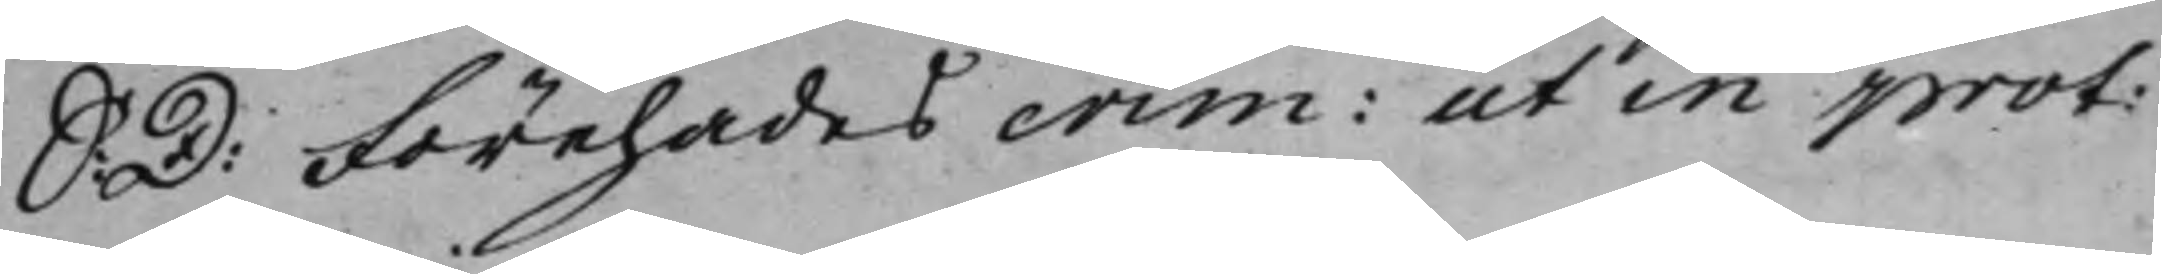S: D: Förehades crim: ut in prot:
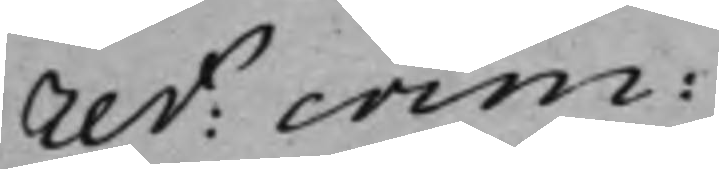ref: crim:
